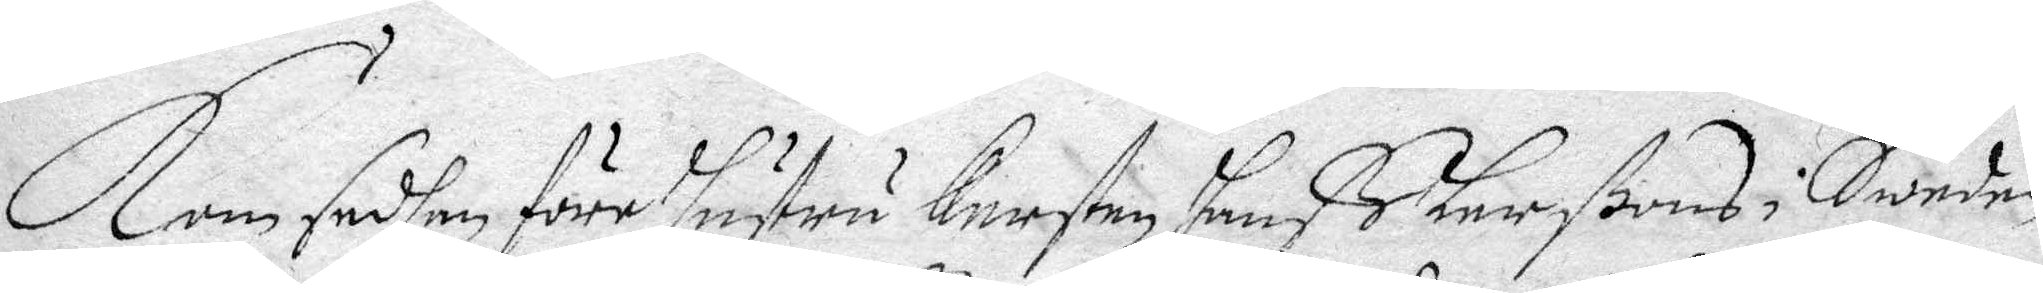Kom sedhan före hustru Kersten hanß Larßons i Sweden
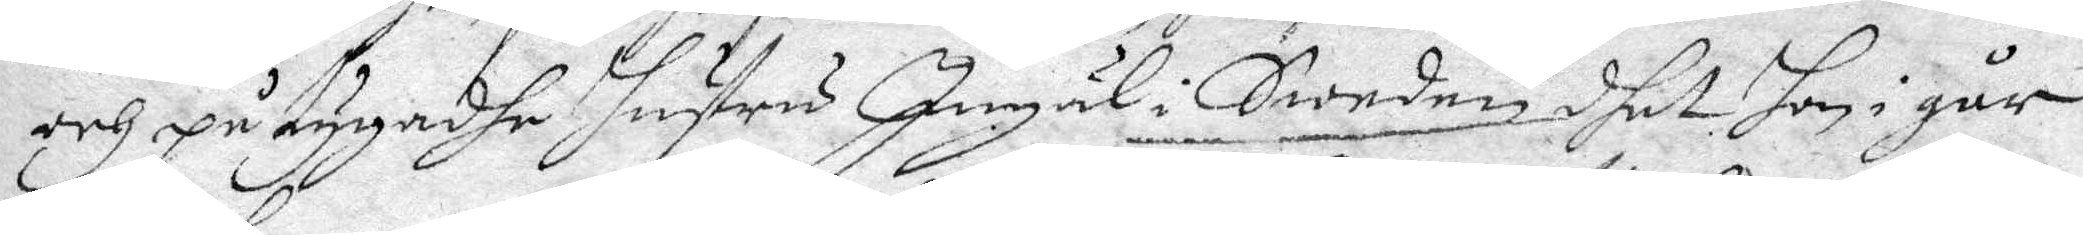och på tygaadhe hustru Ingäl i Sweden dhet hon i går
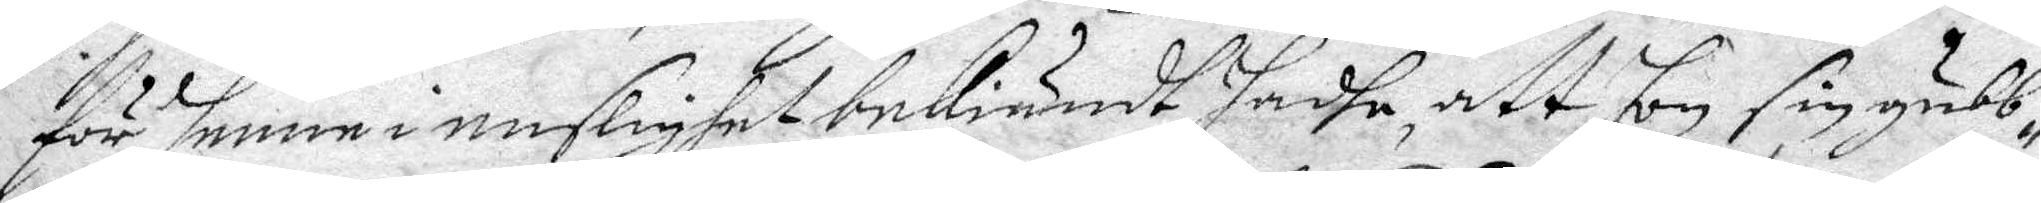för henne i enslighet bekiändt hadhe, att hon sin gubb¬
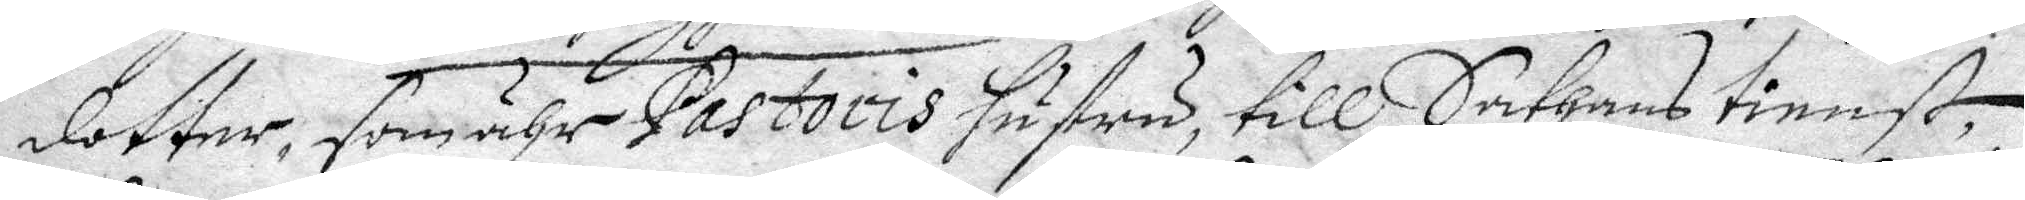dotter, som ähr Pastoris hustru, till Sathans tienst,
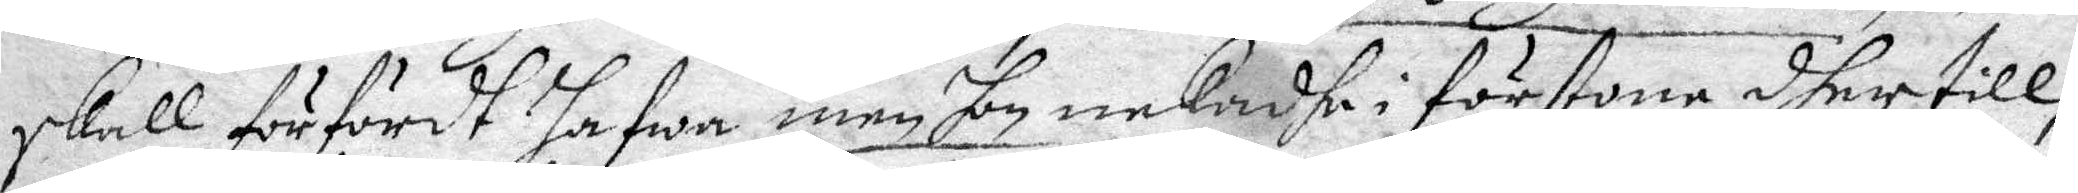skall förfördt hafwa, men hon nekadhe i förstone dher till,
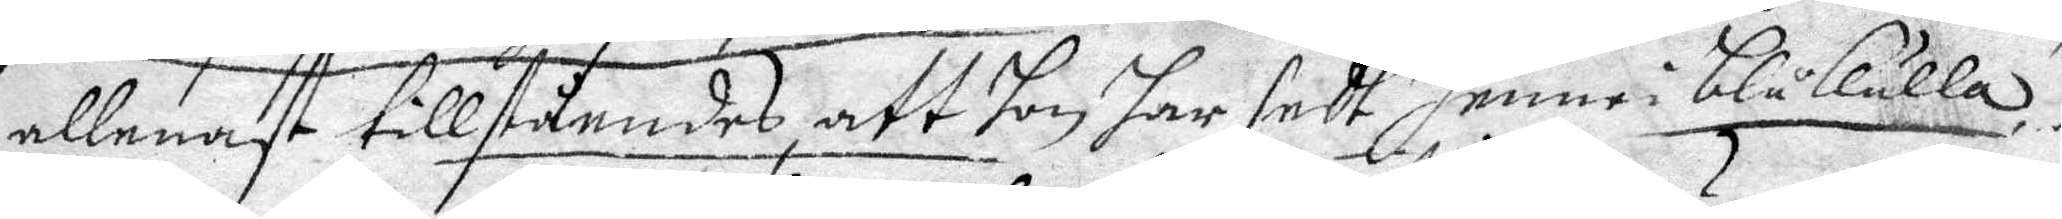allenast tillståndes, att hon har sedt henne i blåkulla.
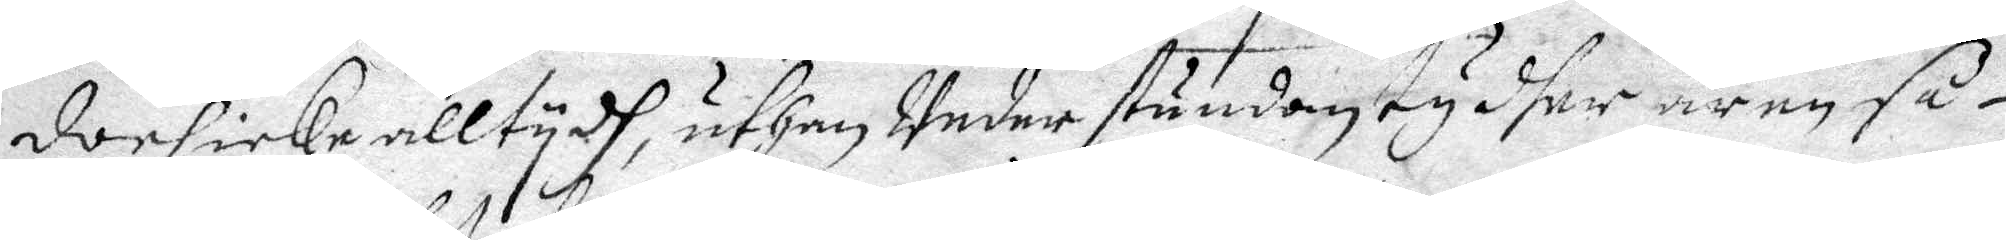doch icke alltydh, uthan Under stundom ty dher är en så¬
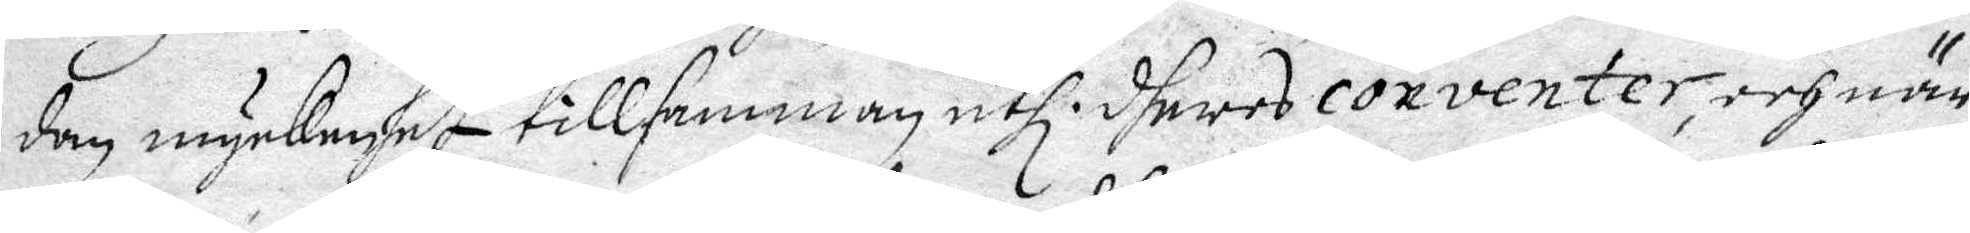dan myckenhet tillsamman uthi dheras conventer, och när
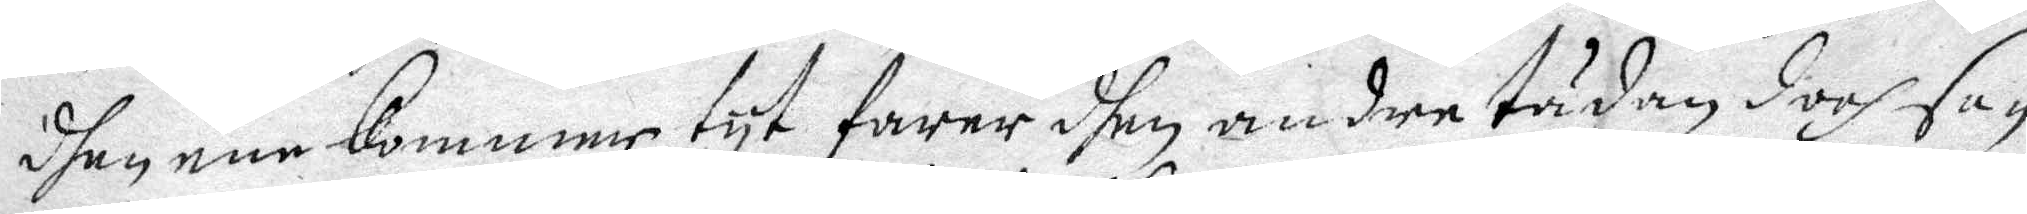dhen ene kommer tyt farer dhen andre tädan doch ha¬
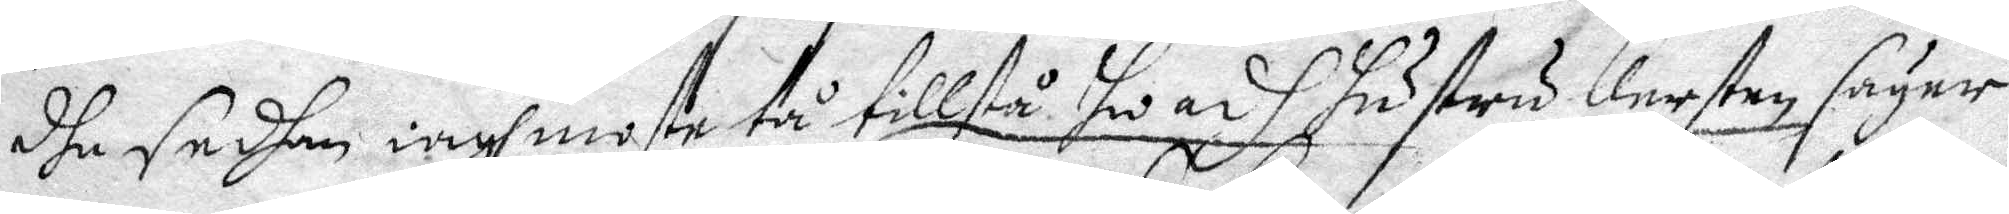dhe sedhan iagh moste tå tillstå hwarh hustru Kersten säger
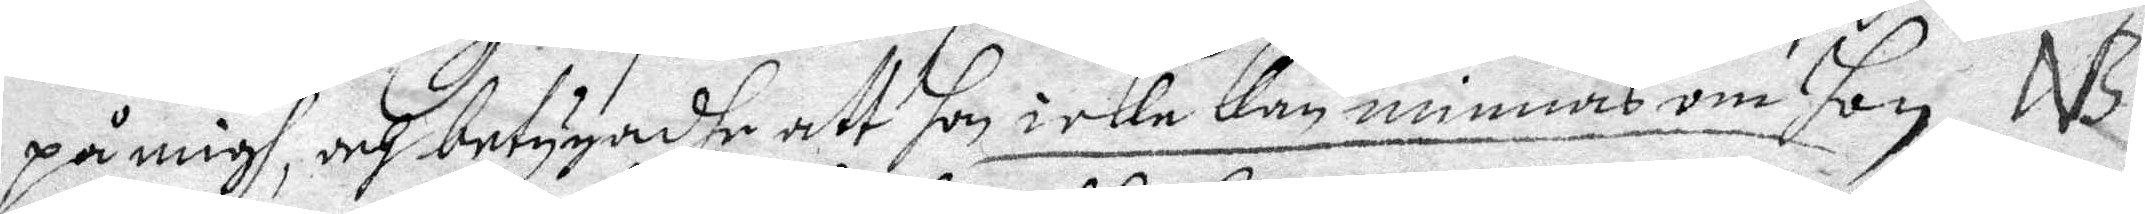på migh, och betygadhe att hon icke kan minnas om hon
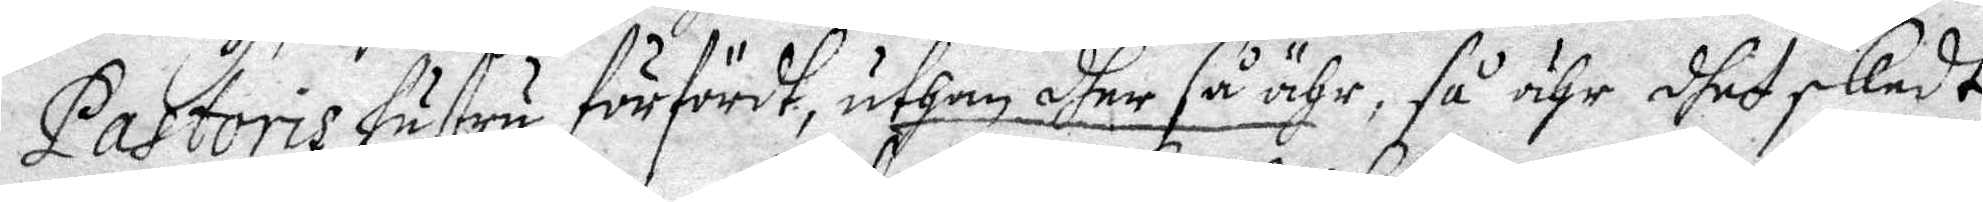Pastoris hustru förfördt, uthan dher så ähr, så ähr dhet skedt
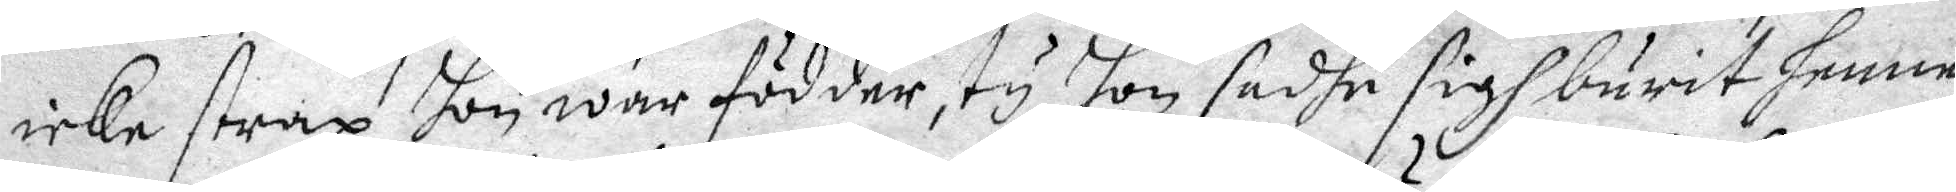icke strax hon war födder, ty hon sadhe sig burit henne
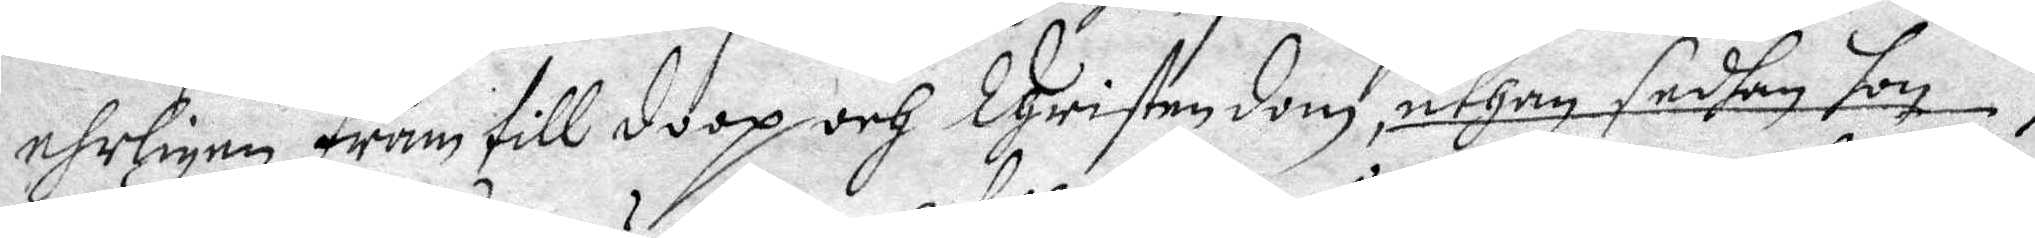ehrligen fram till doop och Christendom, uthan sedhan hon
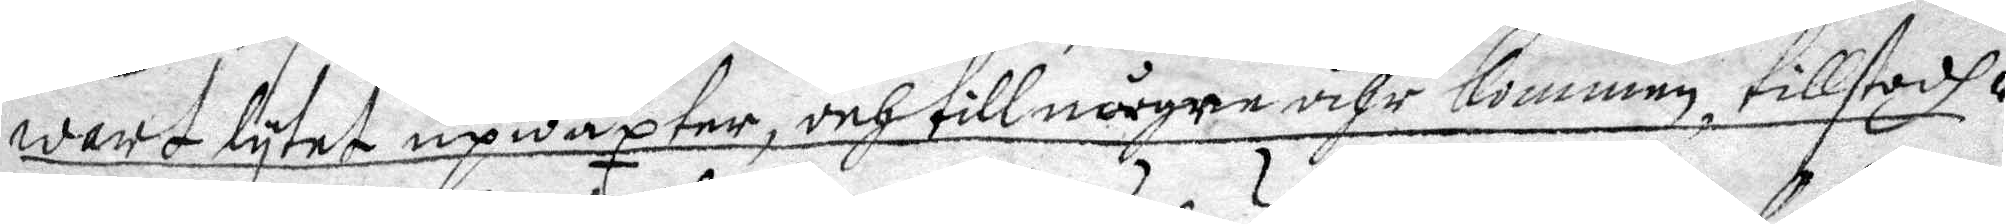wart lutet upwäxter, och till någre åhr kommen, tillstodh
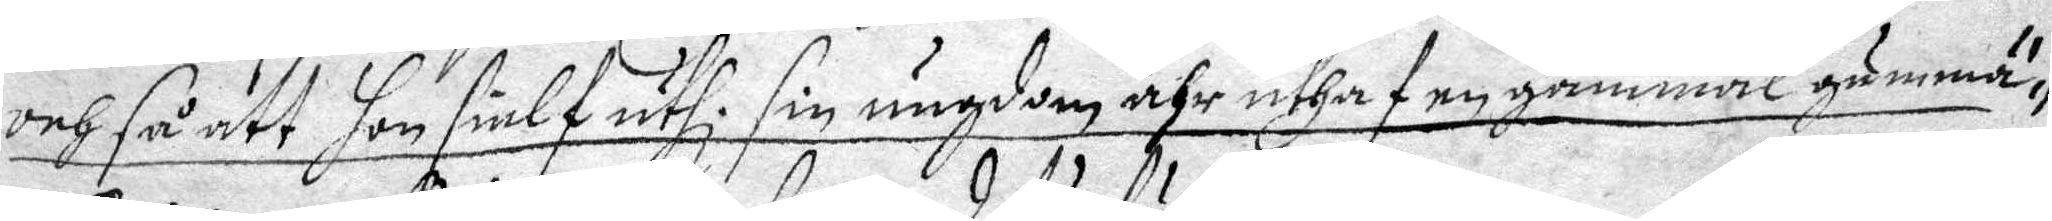och så att hon sielf uthi sin ungdom ähr uthaf en gammal gumma
